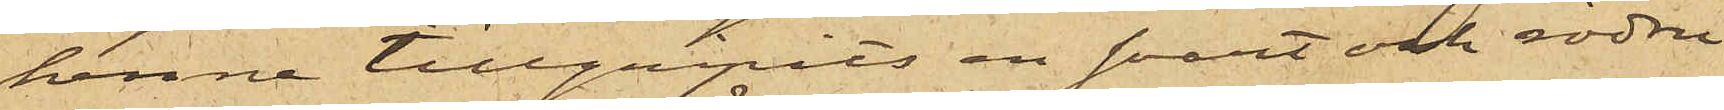henne tillgripits en svart och rödru¬
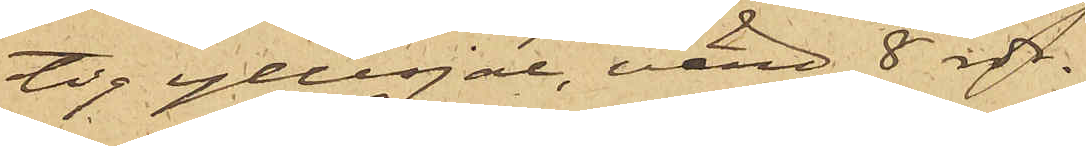tig yllesjal, värd 8 rdr.                      
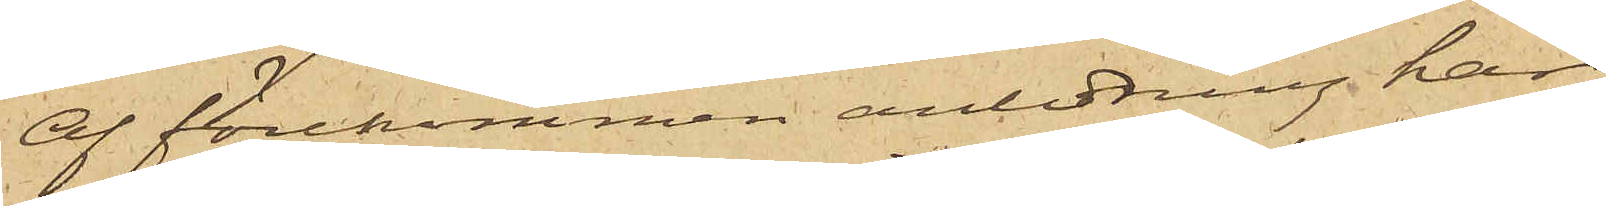Af förekommen anledning har
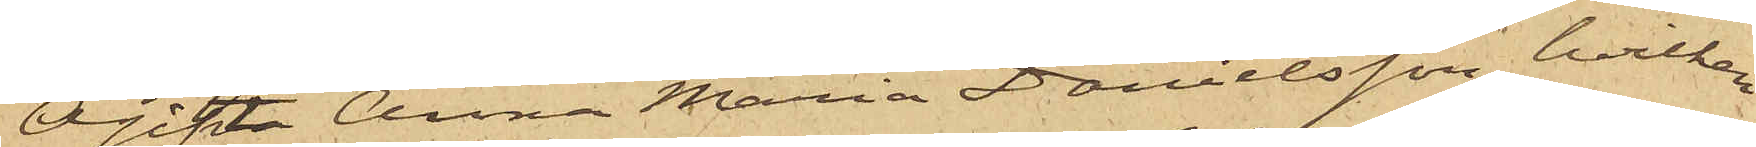Ogifta Anna Maria Danielsson, hvilken
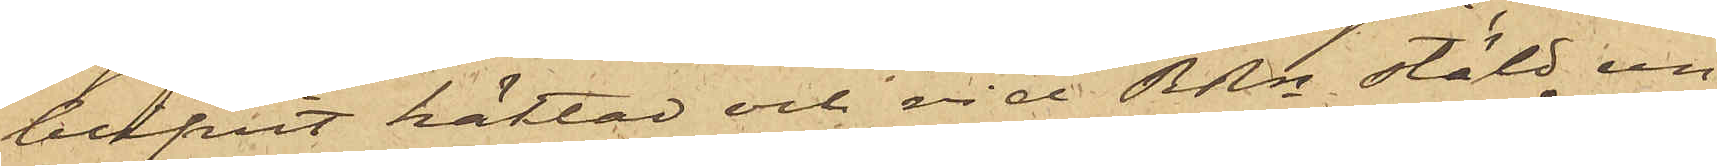blifvit häktad och vid RRn stäld un¬
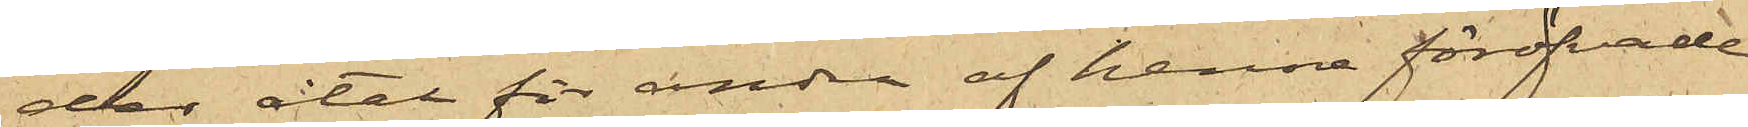dae åtal för andra af henne föröfvade
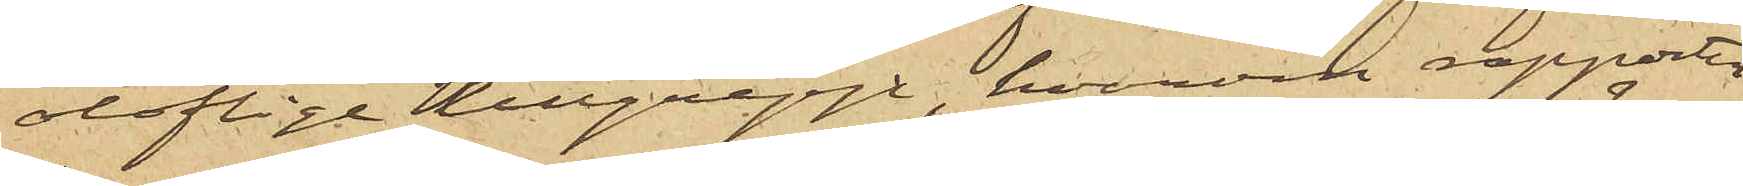oloflige tillgrepp, hvarom rapporter
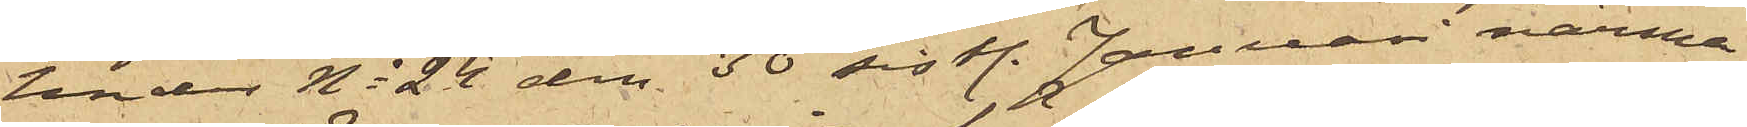under No 24 den 30 sist. Januari närma¬
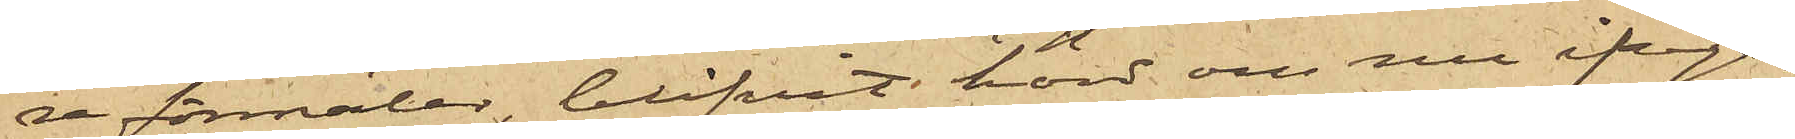re förmäler, blifvit hörd om nu ifråga¬
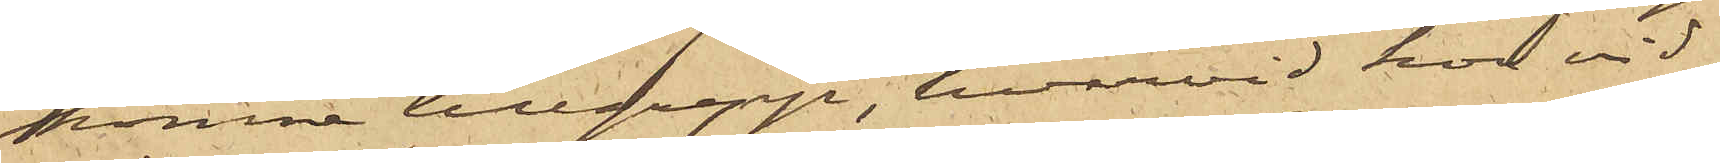komne tillgrepp, hvarvid hon vid¬
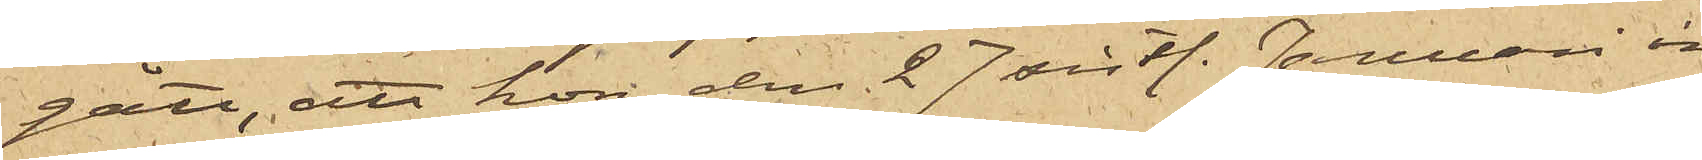gått, att hon den 27 sist. Januari in¬
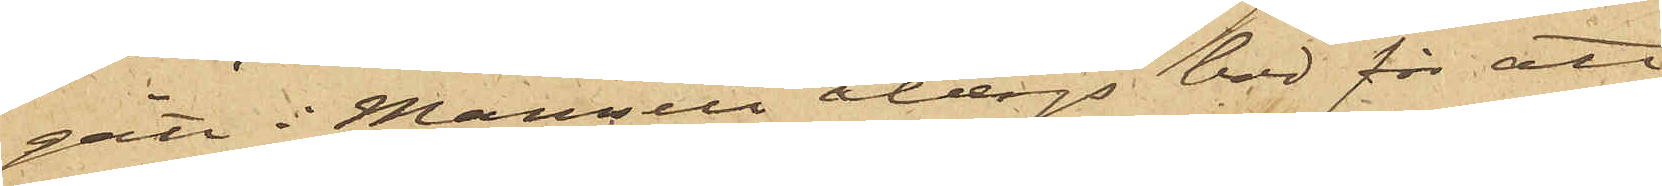gått i Mamsell Åbergs bod för att
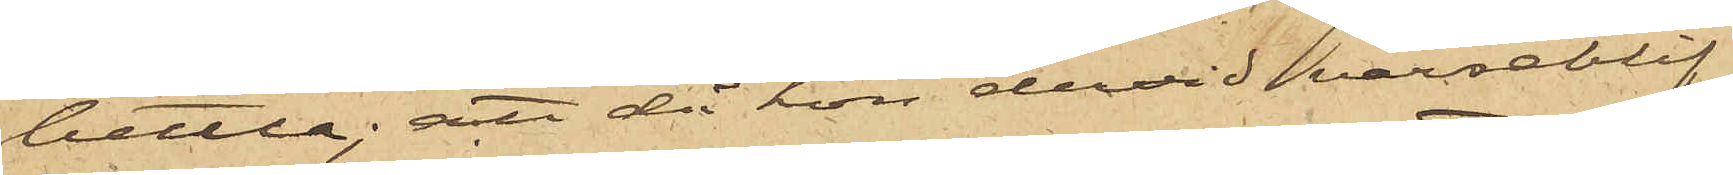bettla; att då hon dervid varseblif¬
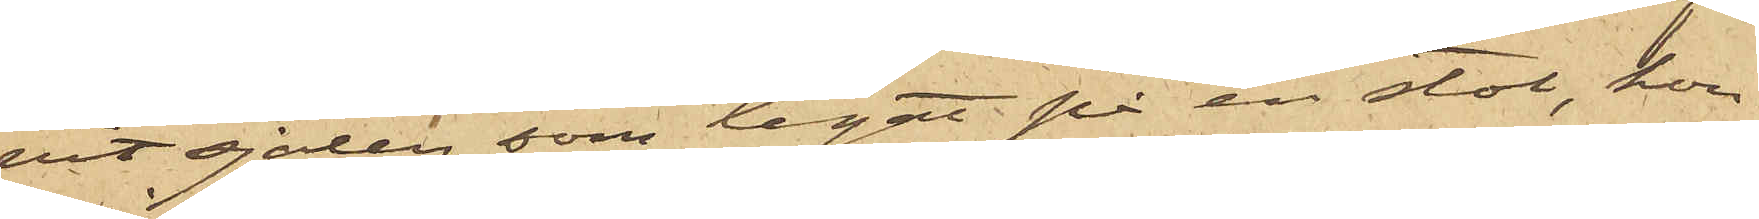vit sjalen, som legat på en stol, hon
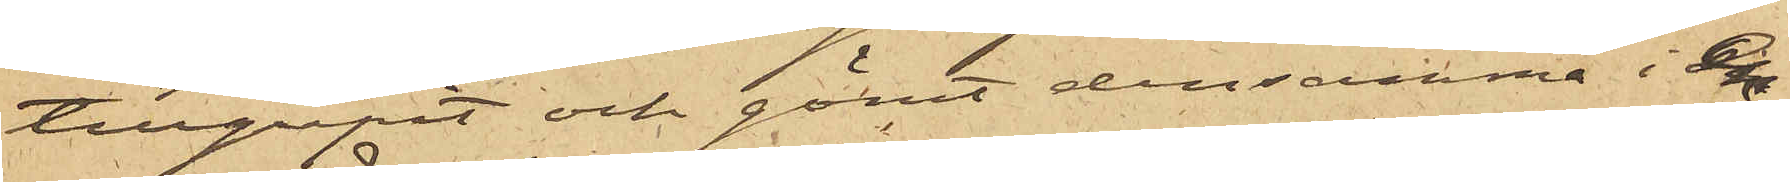tillgripit och gömt densamma i en
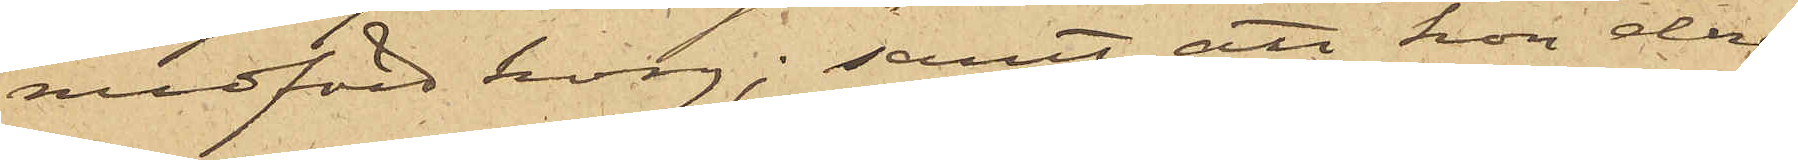medförd korg; samt att hon deref¬
